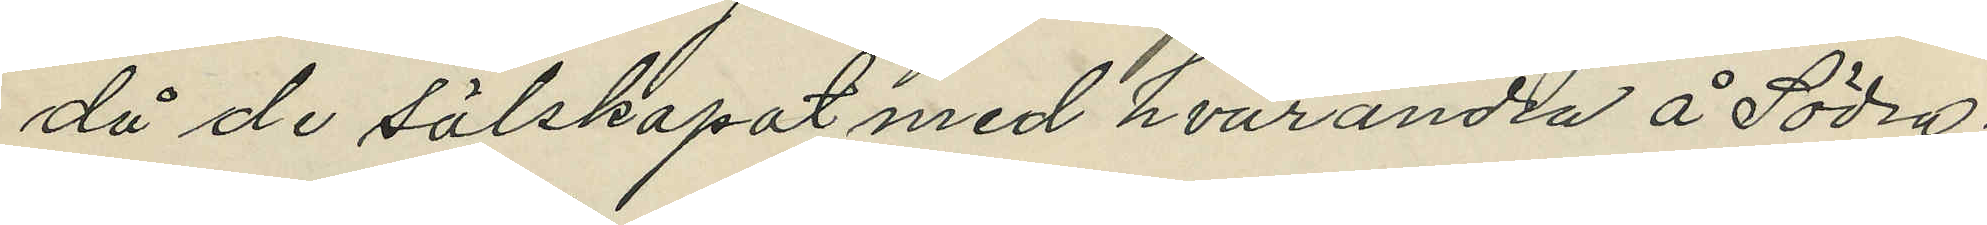då de sälskapat med hvarandea å Södra¬
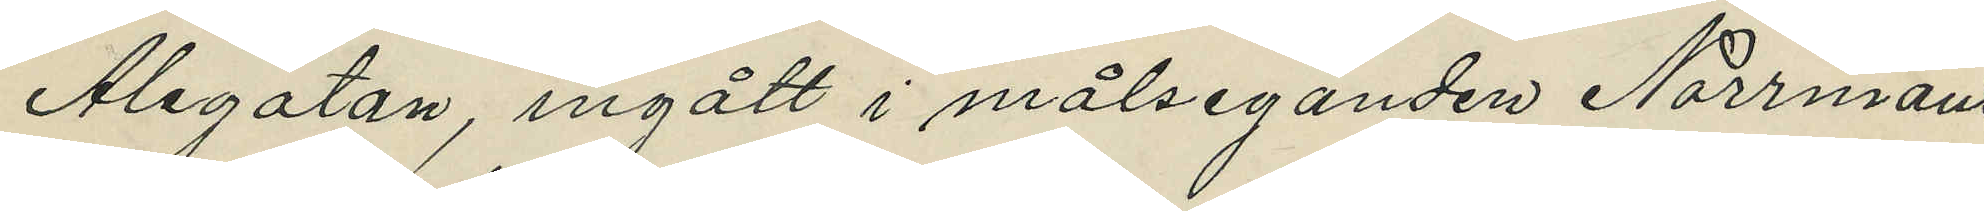Alegatan, ingått i målseganden Norrmans
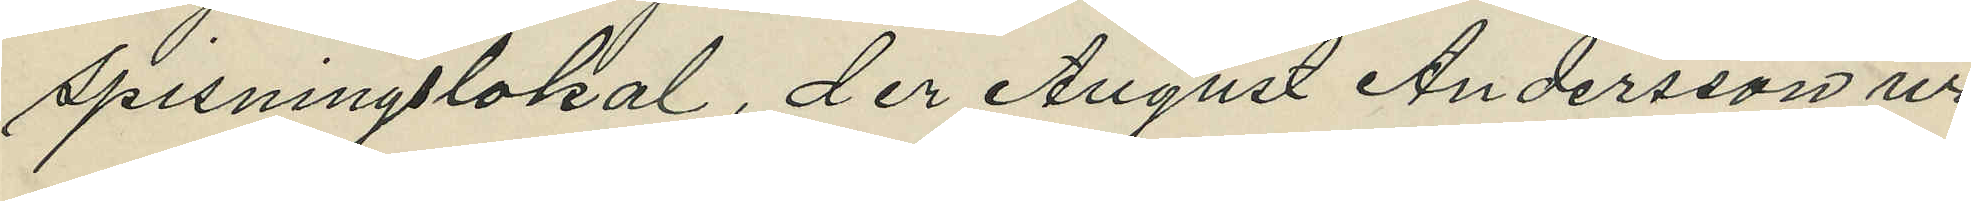spisningslokal, der August Andersson ur
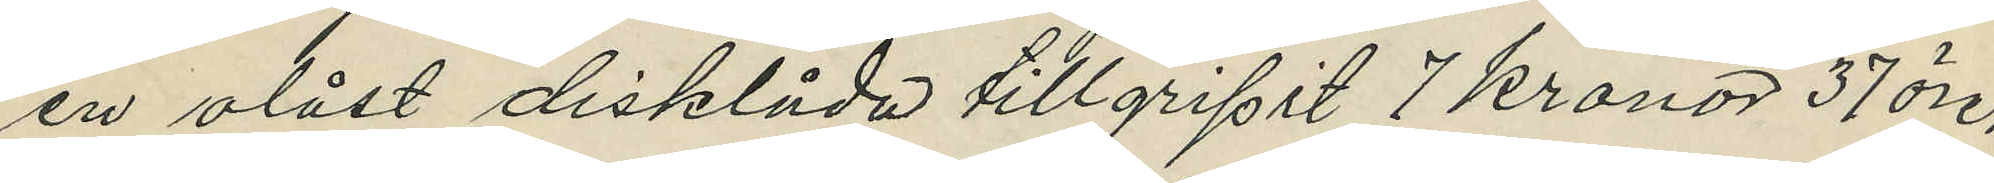en olåst disklåda tillgripit 7 kronor 37 öre;
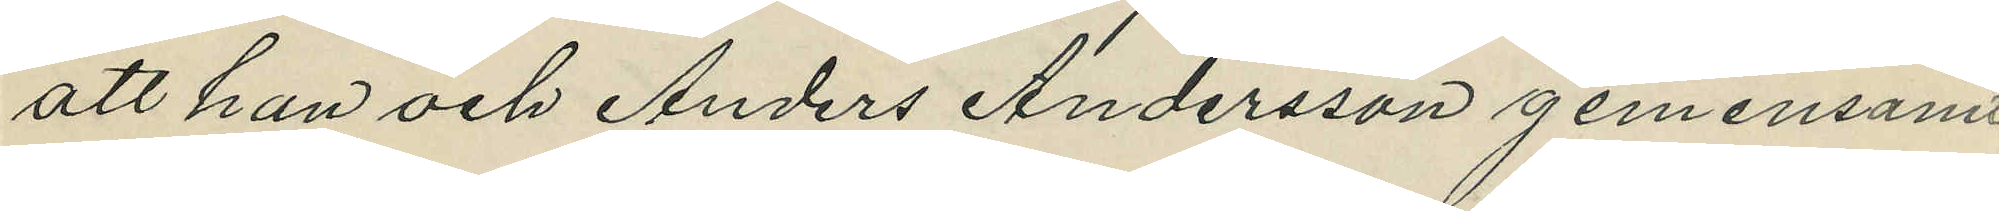att han och Anders Andersson gemensamt
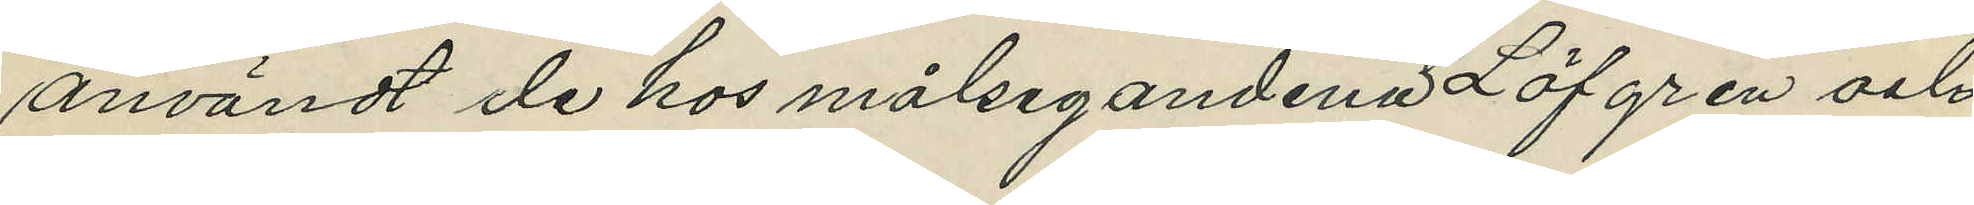användt de hos målsegandena Löfgren och
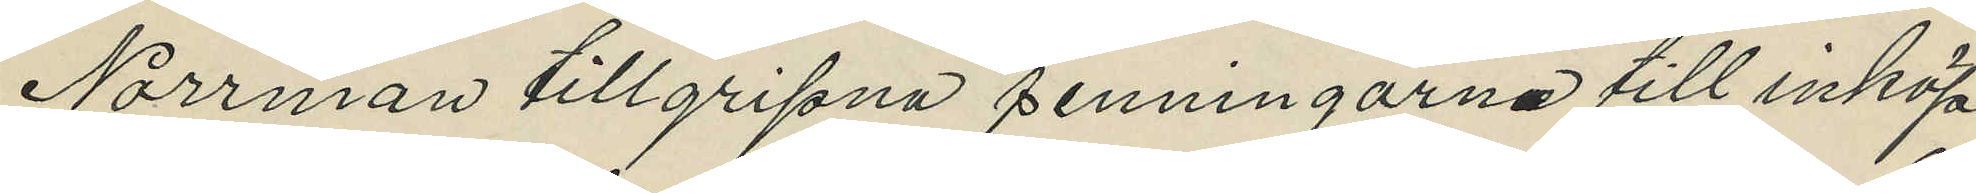Norrman tillgripna penningarne till inköp
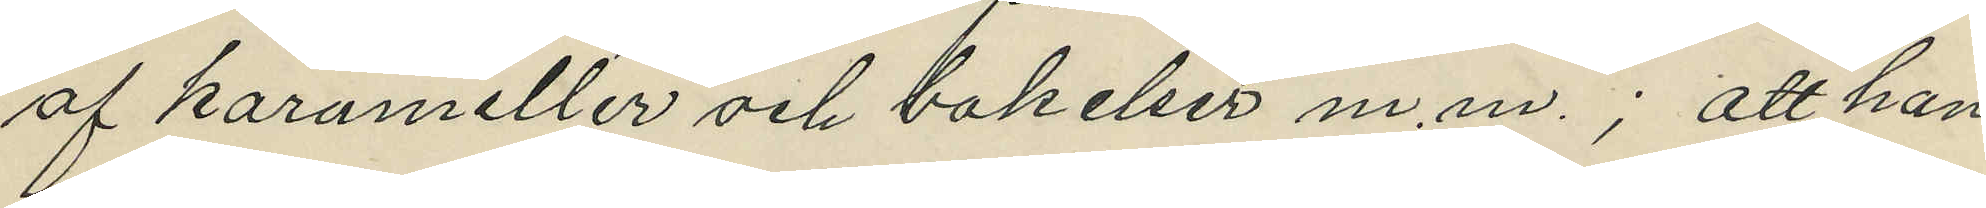af karameller och bakelser m.m.; att han
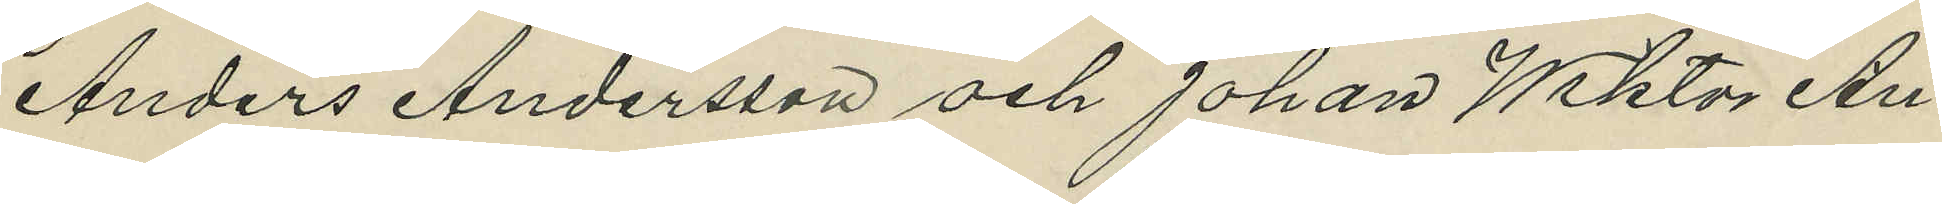Anders Andersson och Johan Wiktor An¬
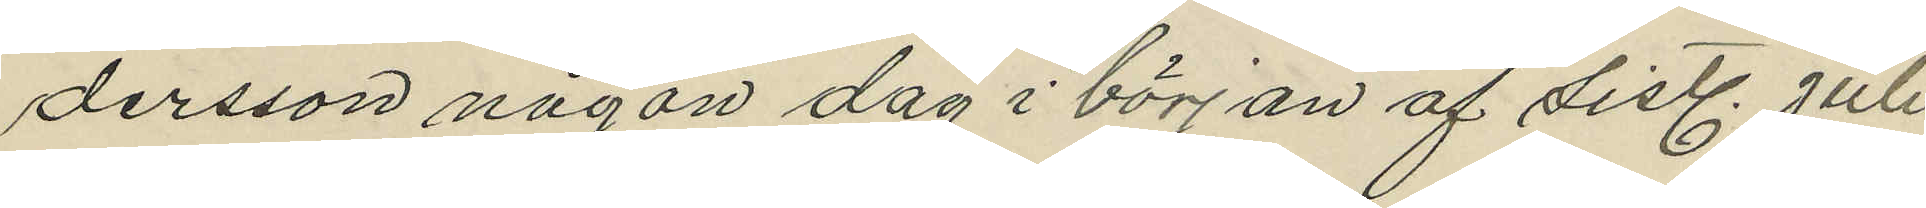dersson någon dag i början af sistl. Juli
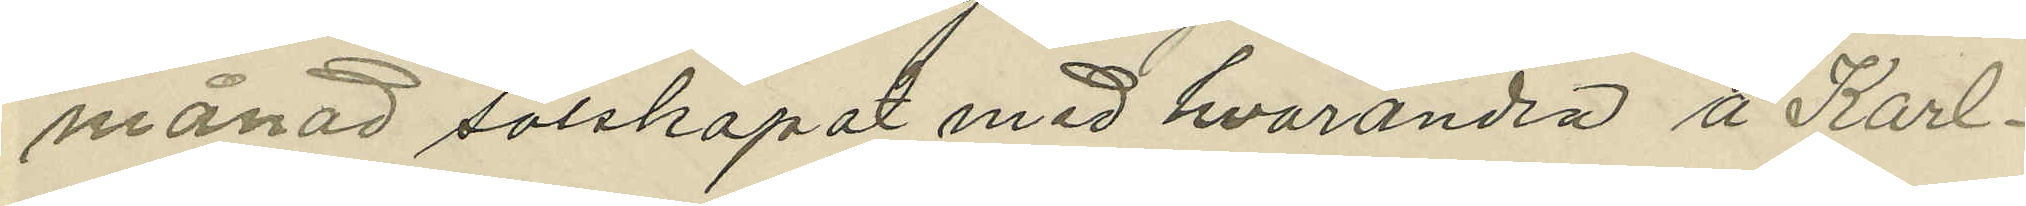månad salskapat med hvarandra å Karl¬
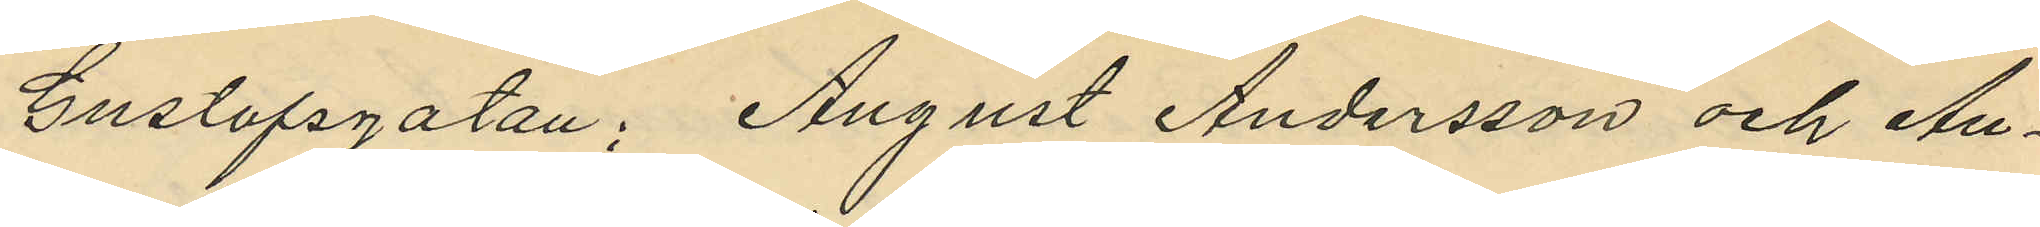Gustafsgatan; August Andersson och An¬
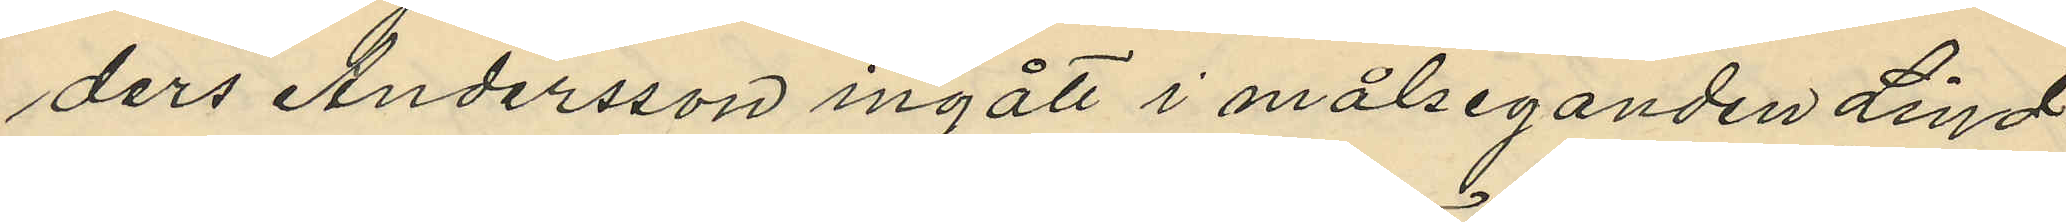ders Andersson ingått i målseganden Lind¬
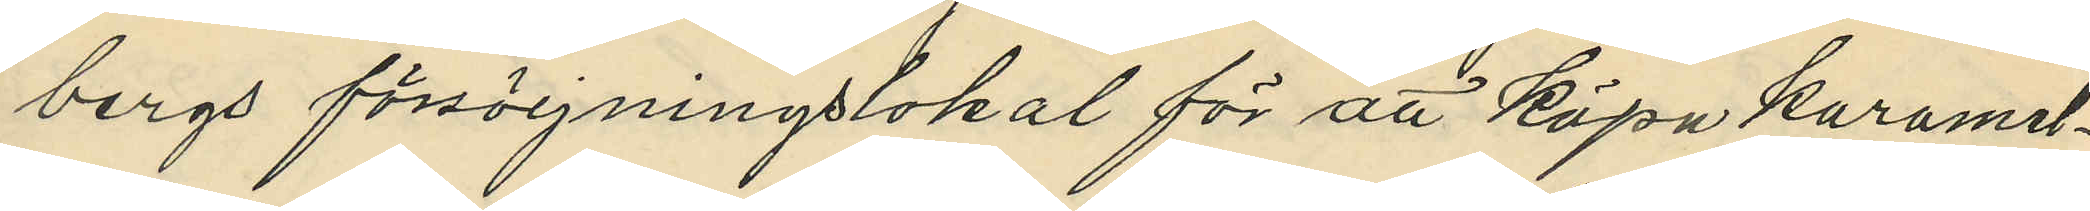bergs försörjningslokal för att köpa karamel¬
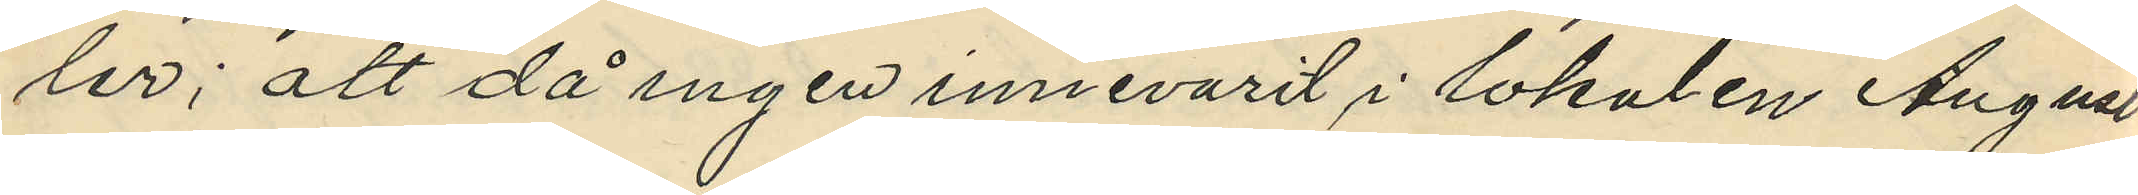ler; att då ingen innevarit i lokalen August
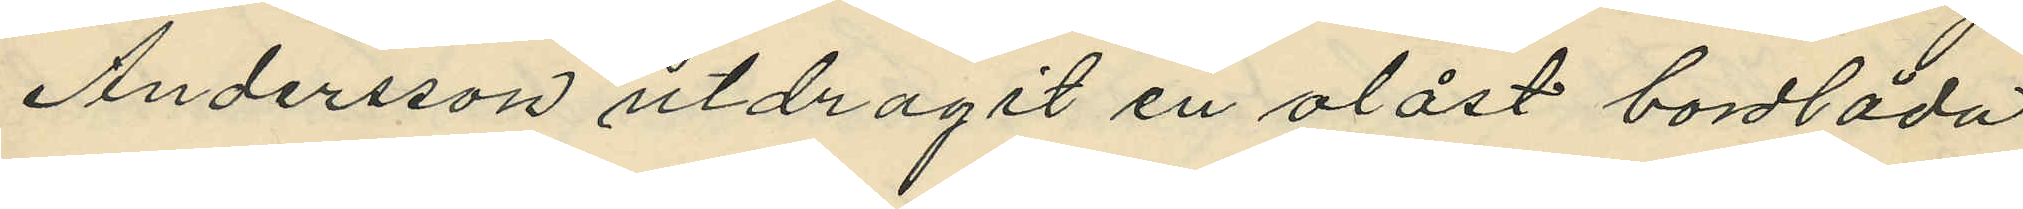Andersson utdragit en olåst bordlåda
